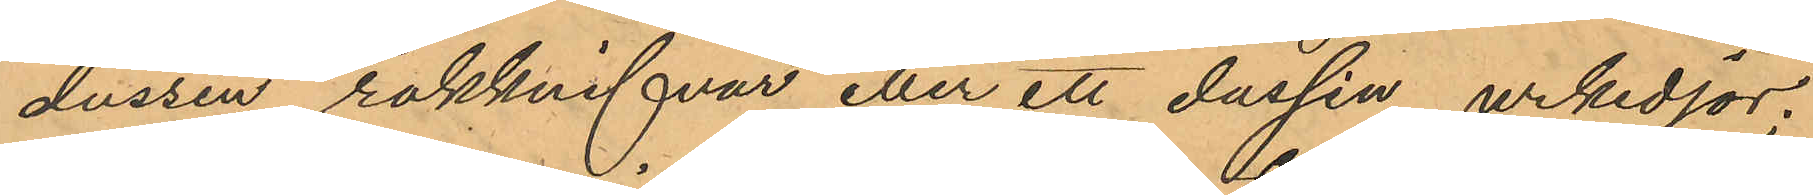dussin rakknifvar eller ett dussin urkedjor;
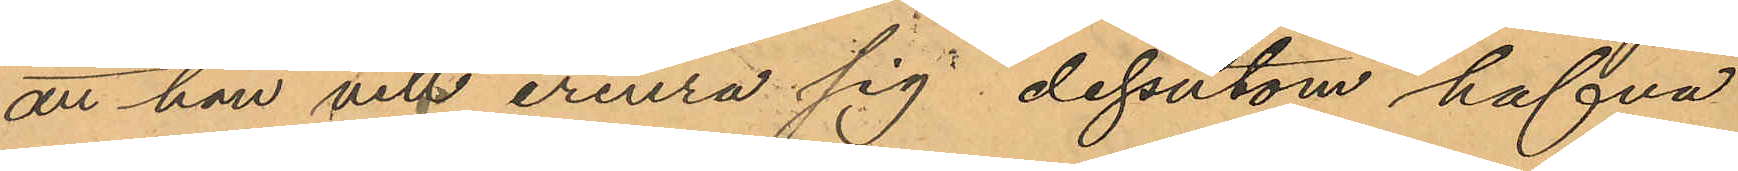att han vill erinra sig dessutom hafva
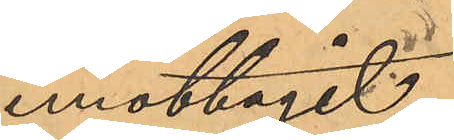emottagit
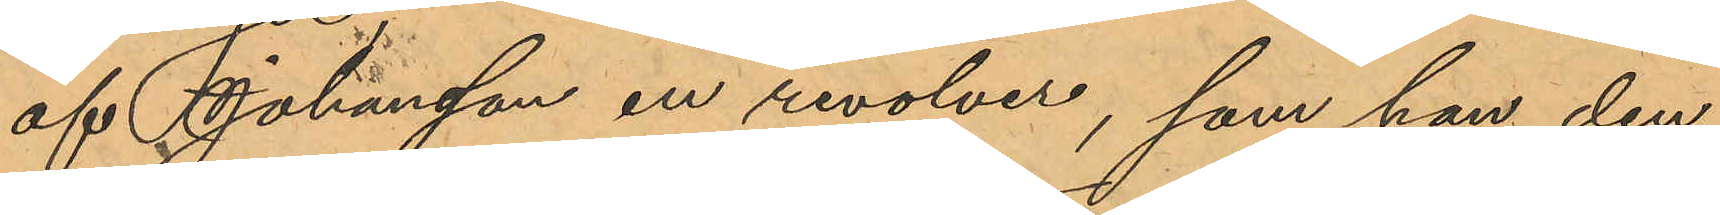af Johansson en revolver, som han den
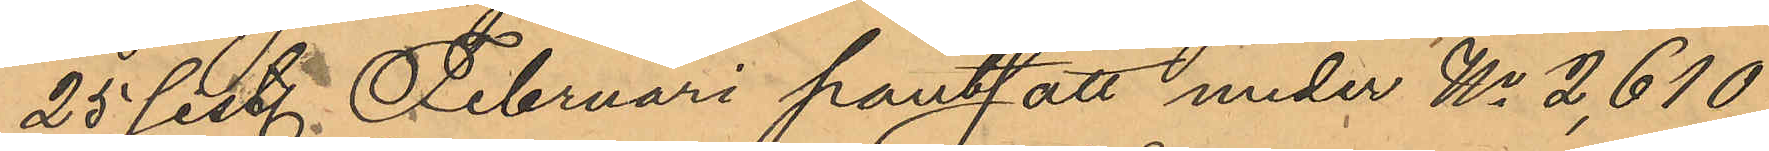25 sist. Februari pantsatt under No 2,610
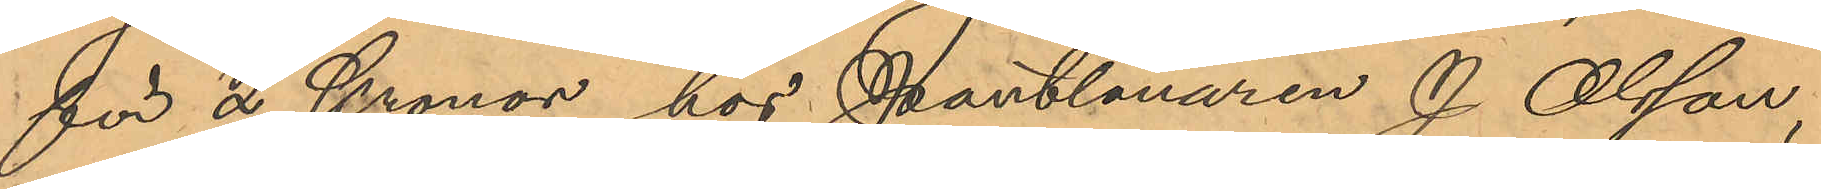för 2 Kronor hos Pantlånaren J. Olsson,
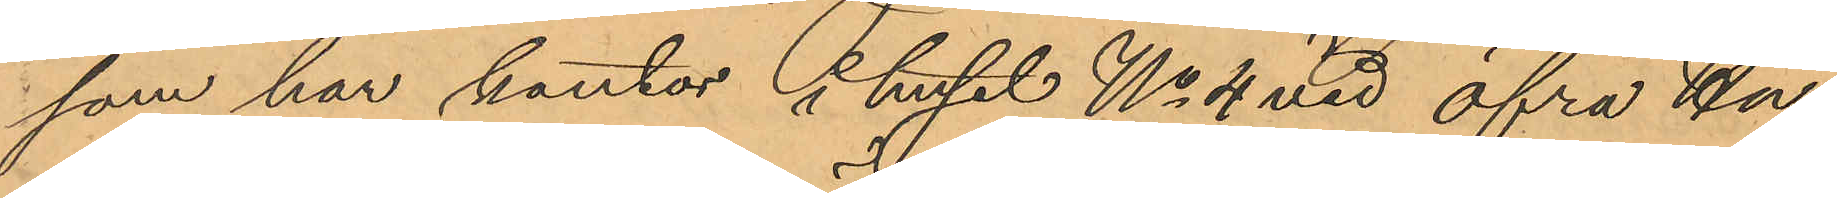som har kontor i huset No 4 vid Öfra Hu¬
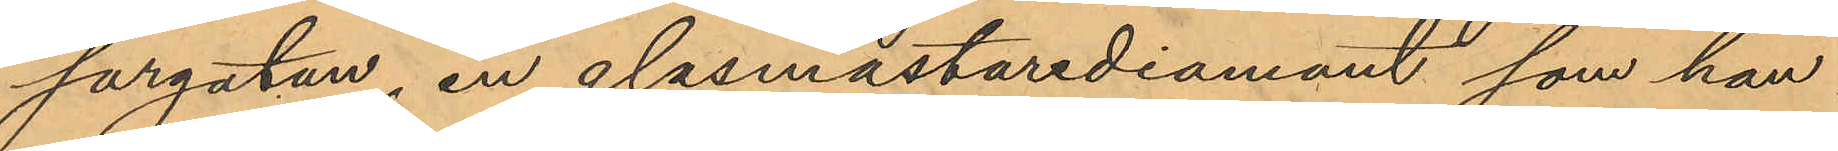sargatan, en glasmästarediamant, som han
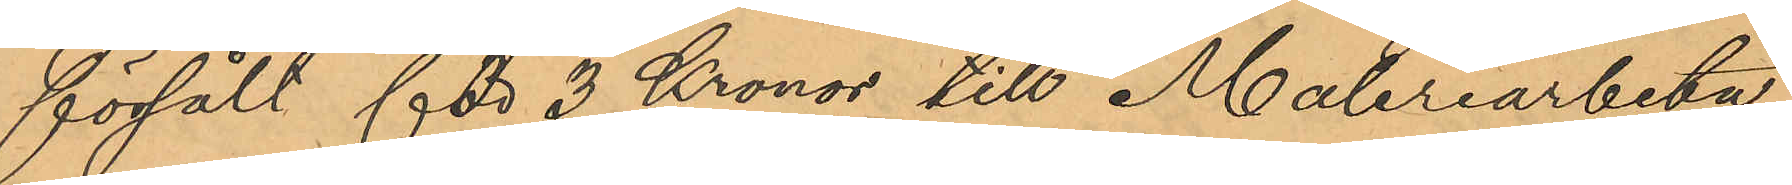försålt för 3 Kronor till Måleriarbeta¬
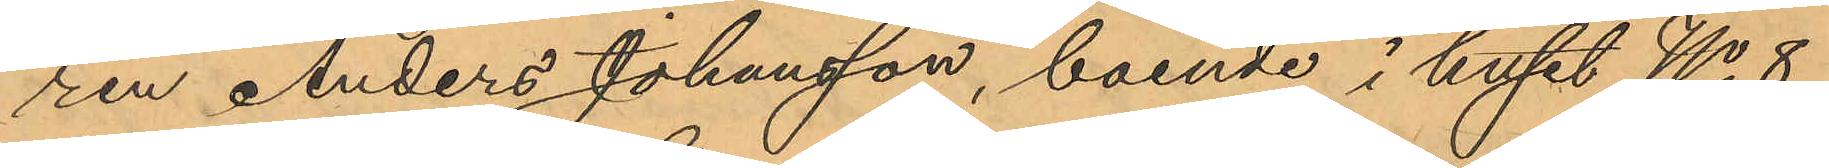ren Anders Johansson, boende i huset No 8
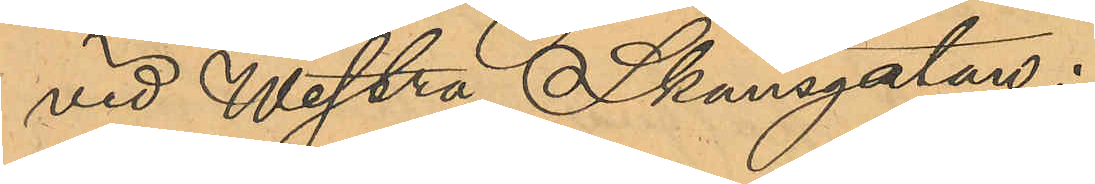vid Westra Skansgatan;
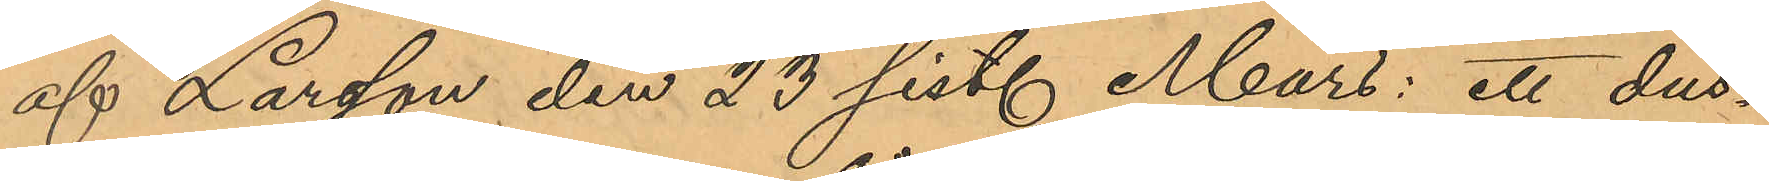af Larsson den 23 sist. Mars: ett dus¬
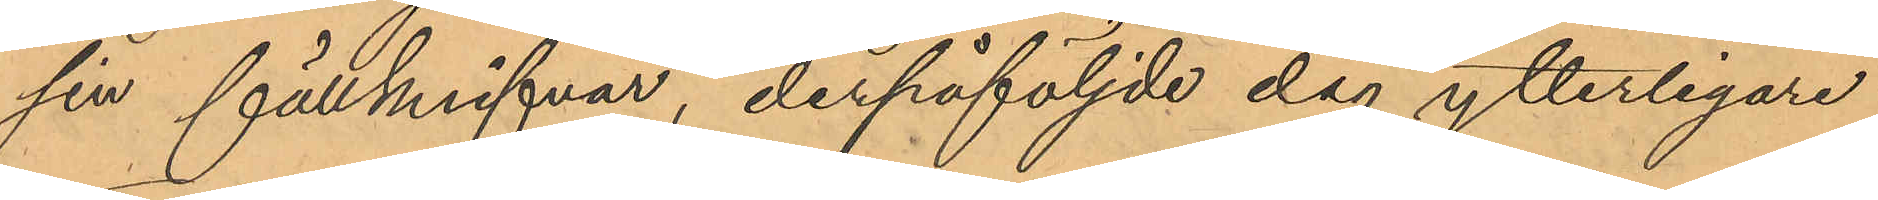sin fällknifvar, derpåföljde dag ytterligare
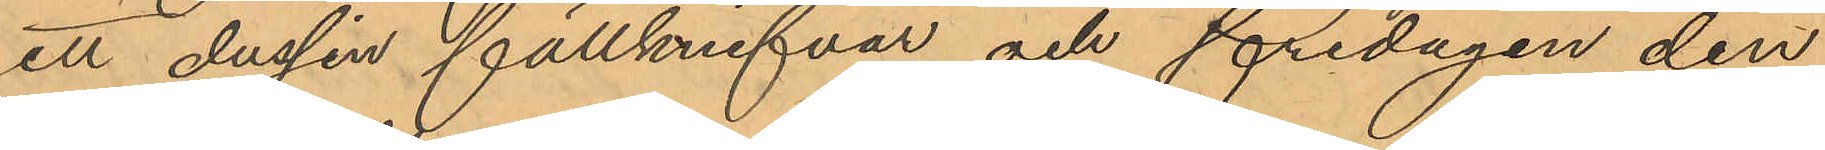ett dussin fällknifvar och fredagen den
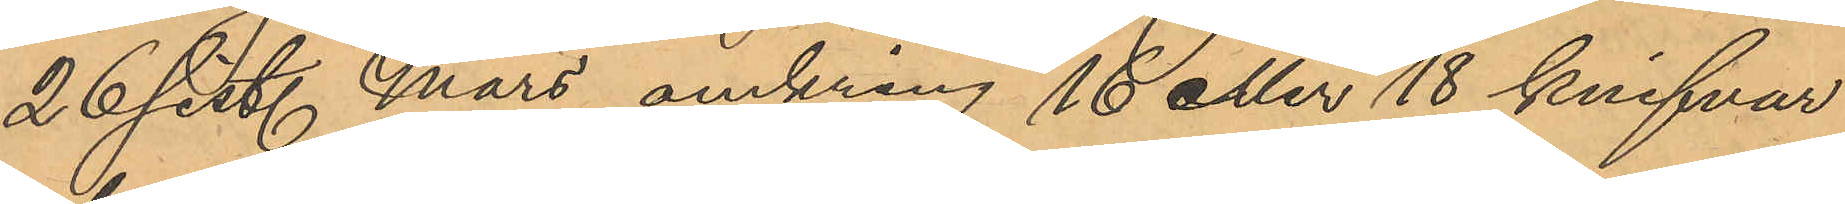26 sist. Mars omkring 16 eller 18 knifvar
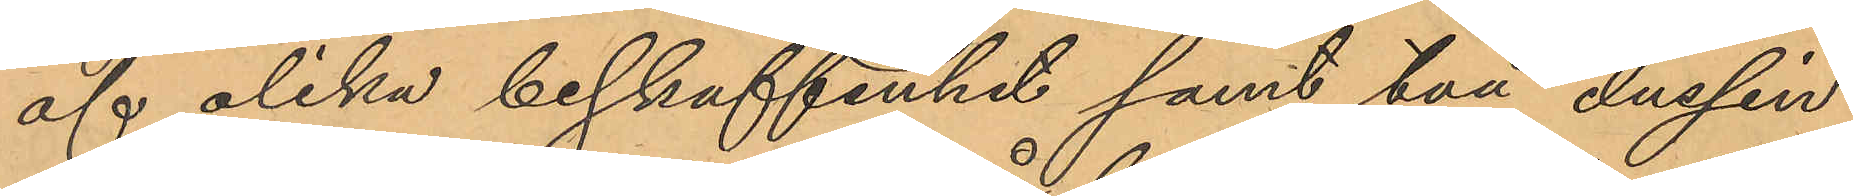af olika beskaffenhet samt två dussin
